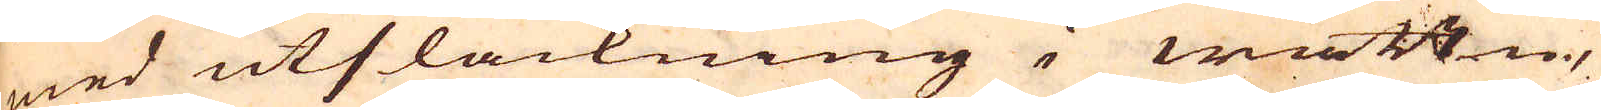med utsläckning i wättn,
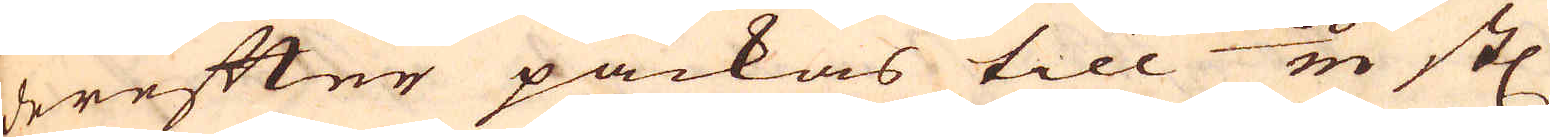derefter packas till 60/m st:
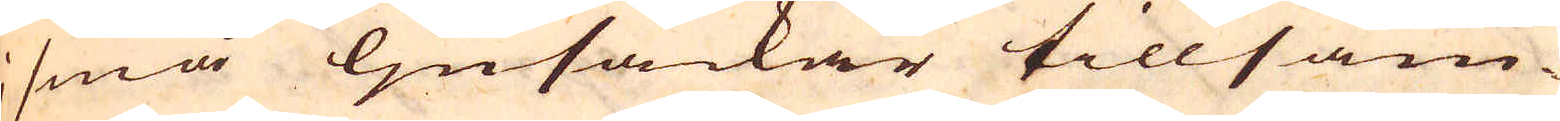i små ljusäckar tillsam-
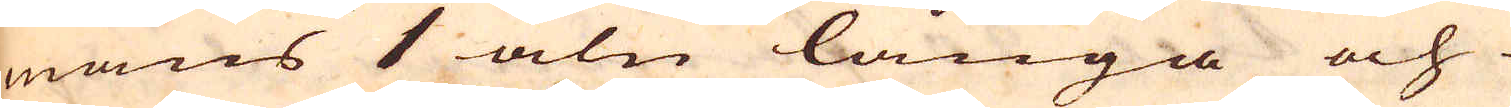mans 1 aln långa och
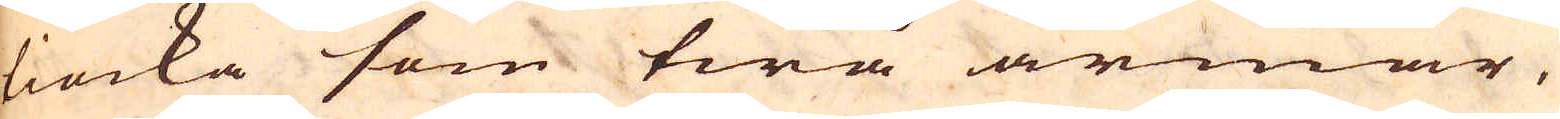tiocka som twå armar,
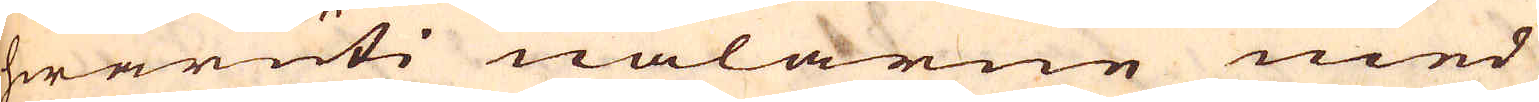hwaruti nålarne med
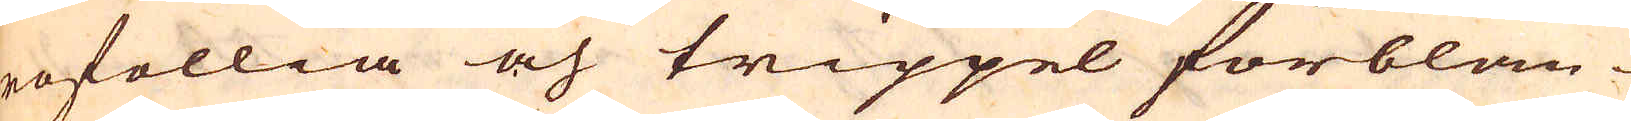rofollia och trippel förblan-
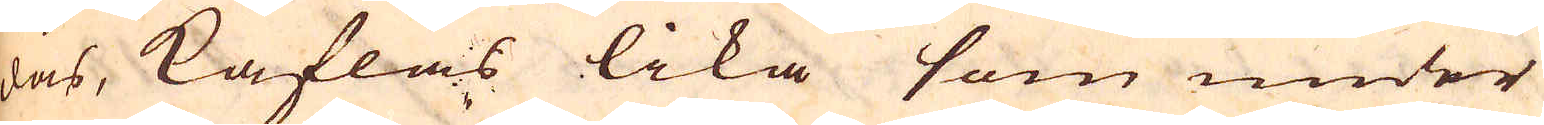das, kaflas lika som under
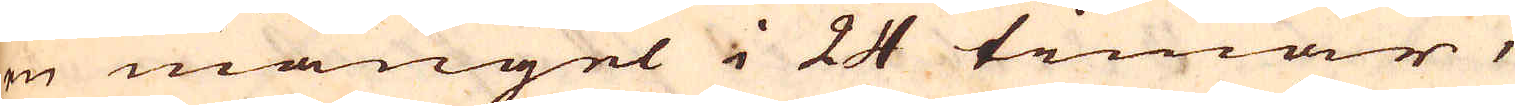en mangel i 24 timar,
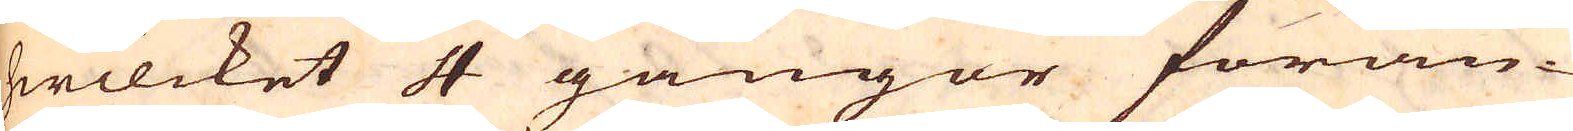hwilcket 4 gångor förän-
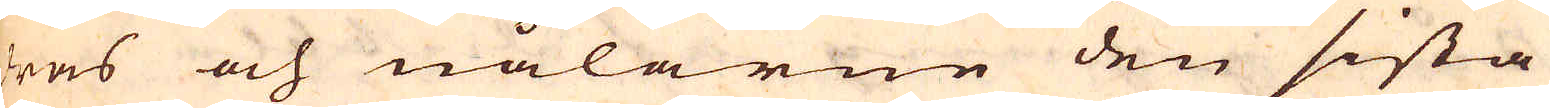ras och nålarne den sista
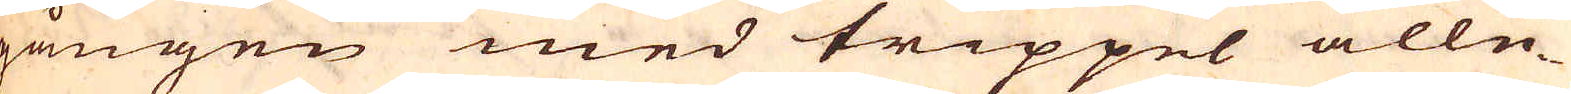gången med trippel alle-
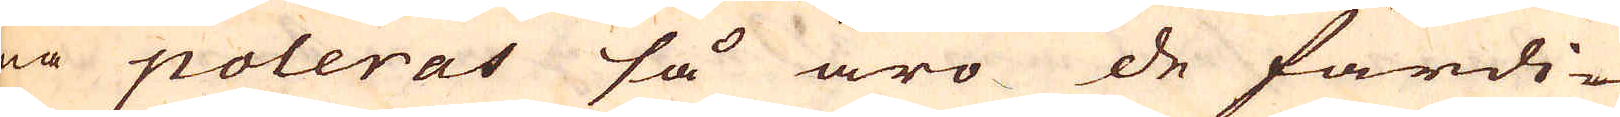na poleras så äro de färdi-
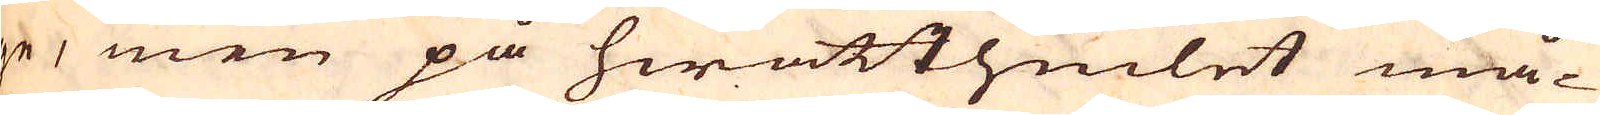ge, men på hwatthiulet må-
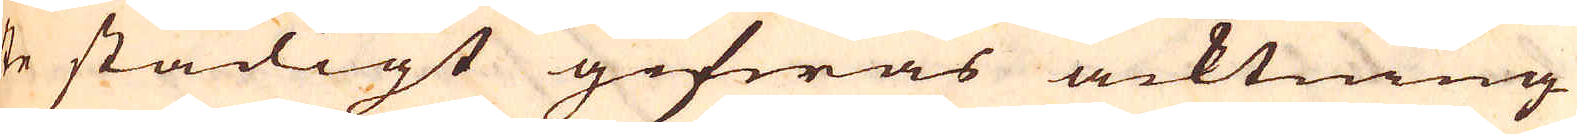ste stadigt gifwas acktning
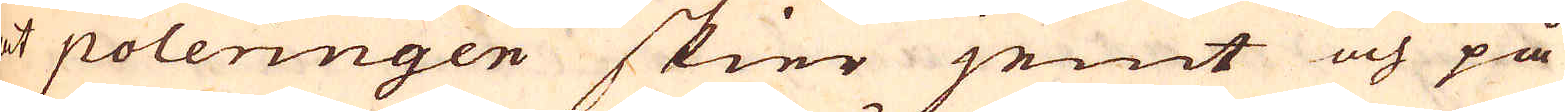at poleringen skier jemt och på
